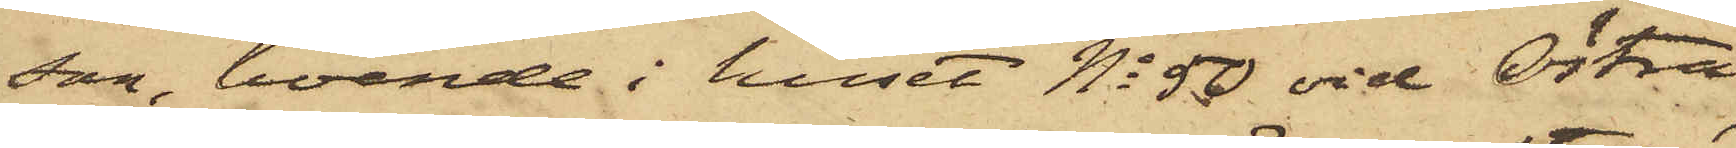son, boende i huset No 50 vid Östra
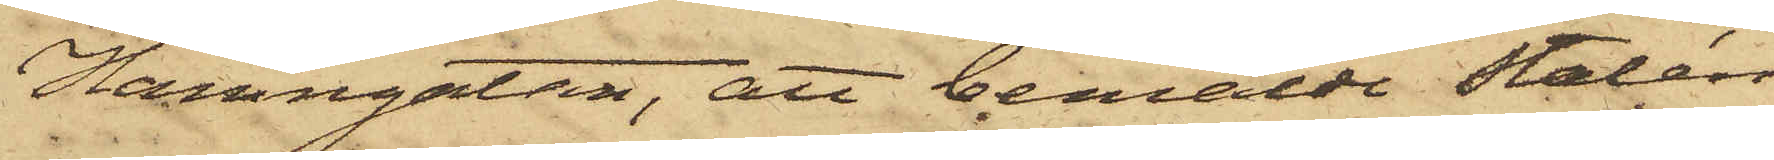Hamngatan, att bemälde Stalén
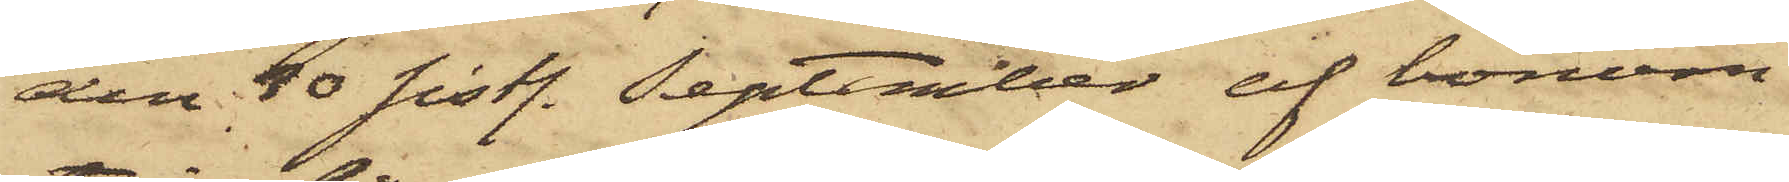den 10 sistl. September af honom
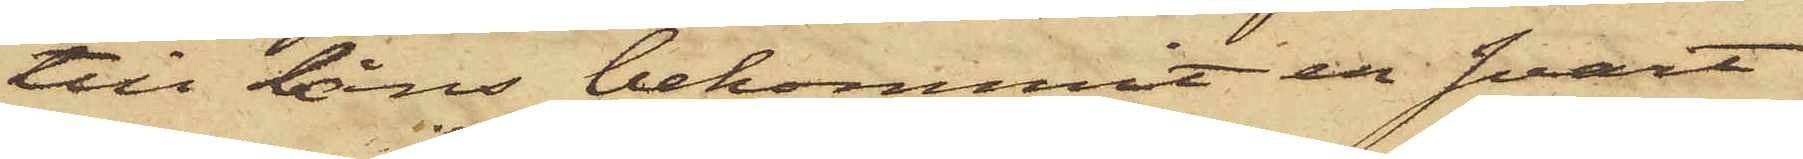till låns bekommit en svart
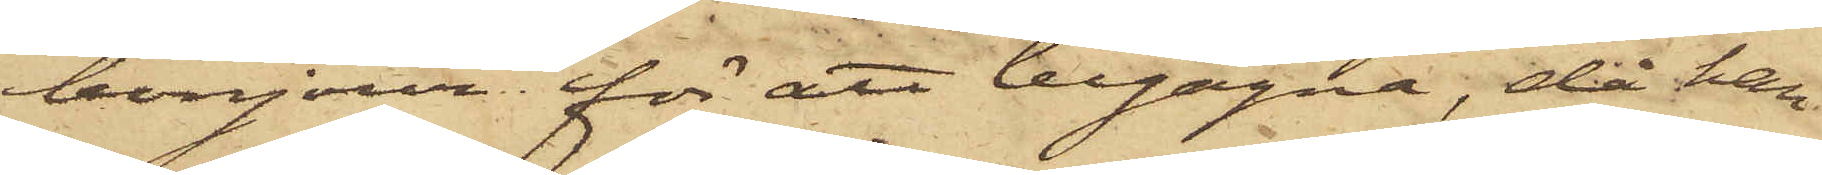bonjour för att begagna, då han
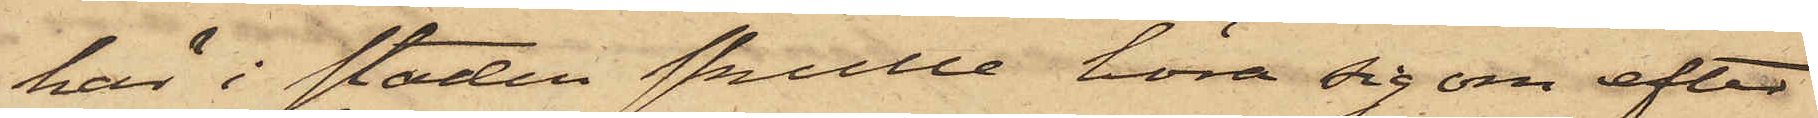här i staden skulle höra sig om efter
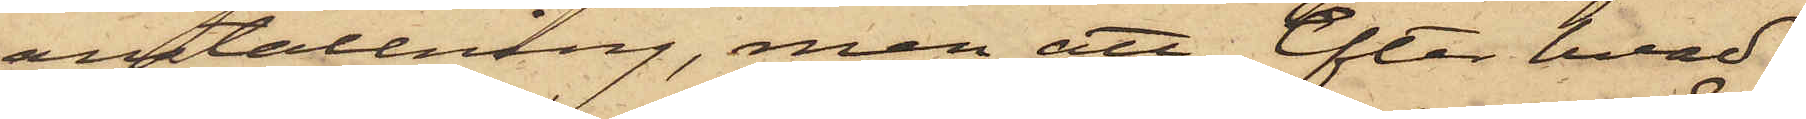anställning, men att, efter hvad
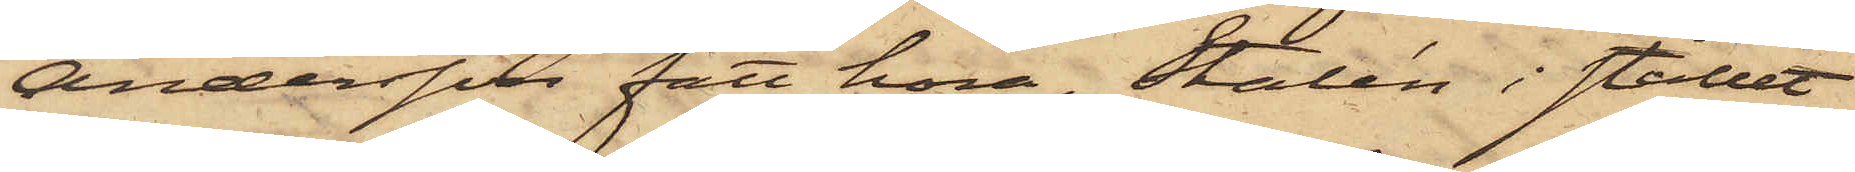Andersson fått höra, Stalén i stället
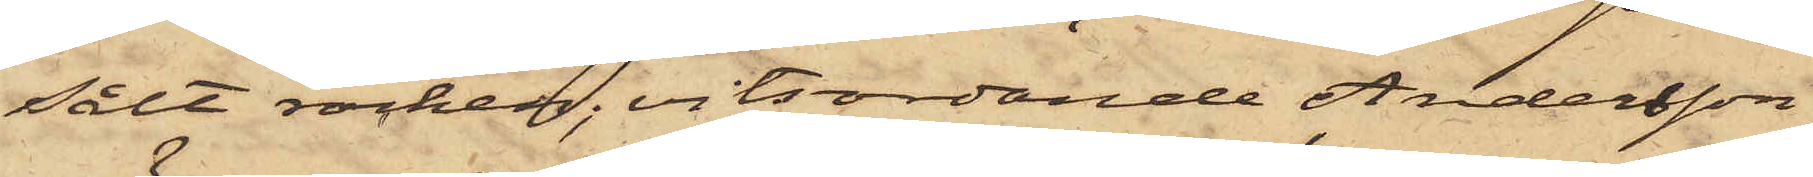sålt rocken; vitsordande Andersson
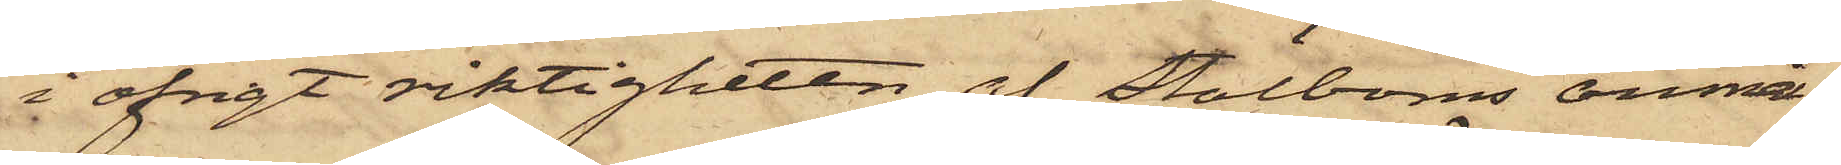i öfrigt riktigheten af Stålboms anmäl¬
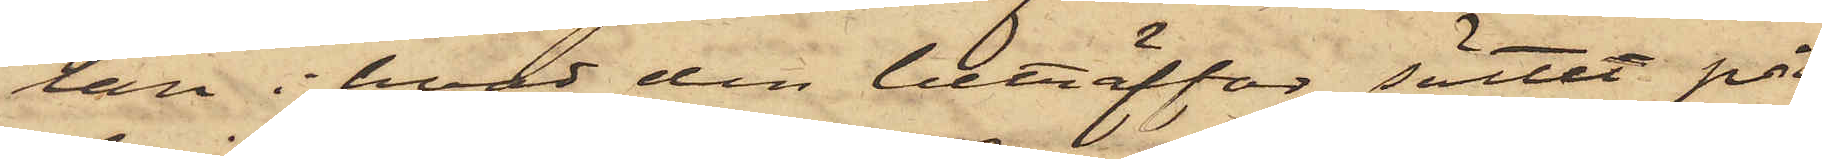lan i hvad den beträffar sättet på
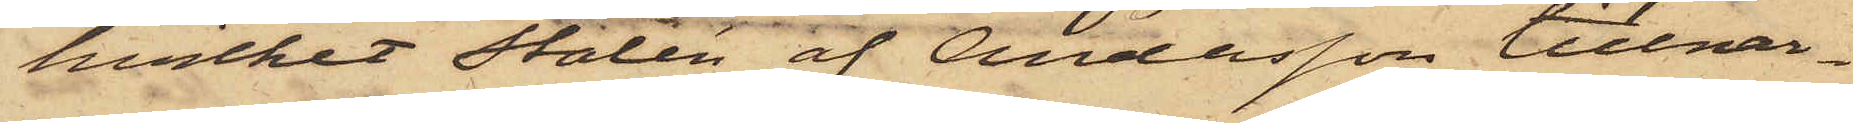hvilket Stalén af Andersson tillnar¬
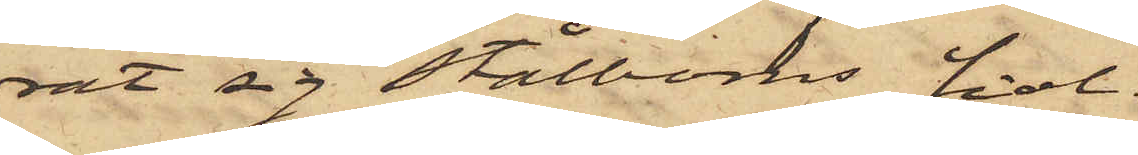rat sig Stålboms fiol.
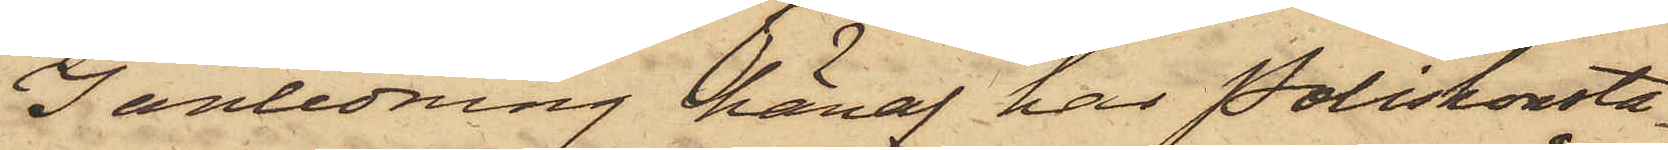I anledning häraf har Poliskonsta¬
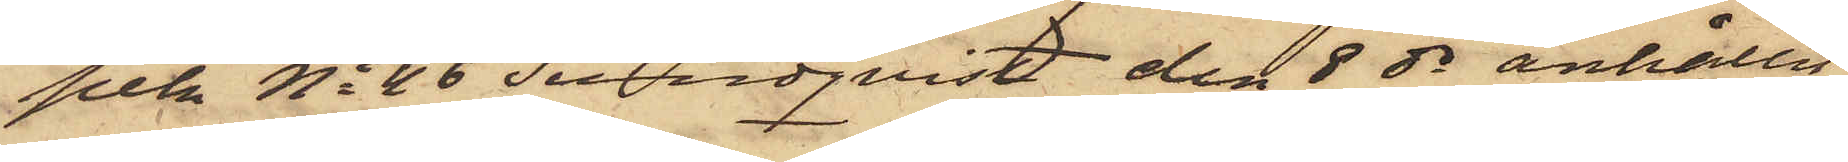pel No 46 Sundqvist den 8 ds anhållit
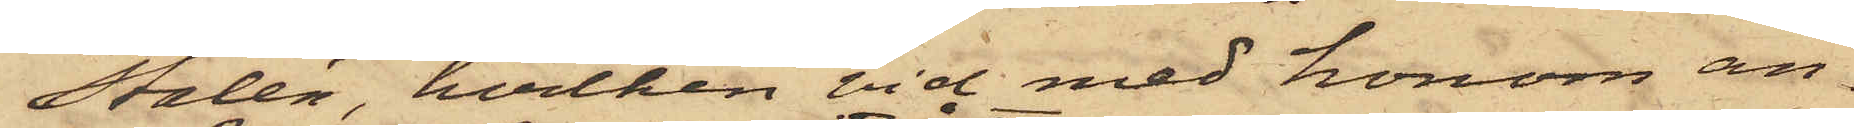Stalén, hvilken vid med honom an¬
